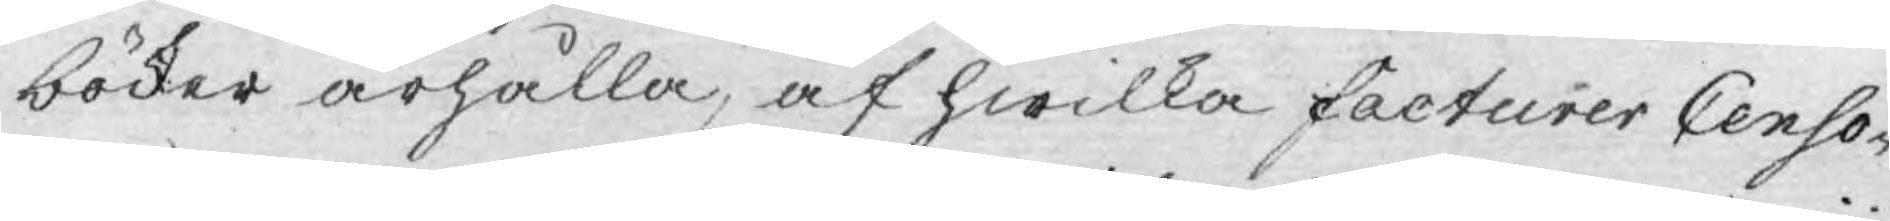böcker ärhålla, af hwilka facturer Censo¬
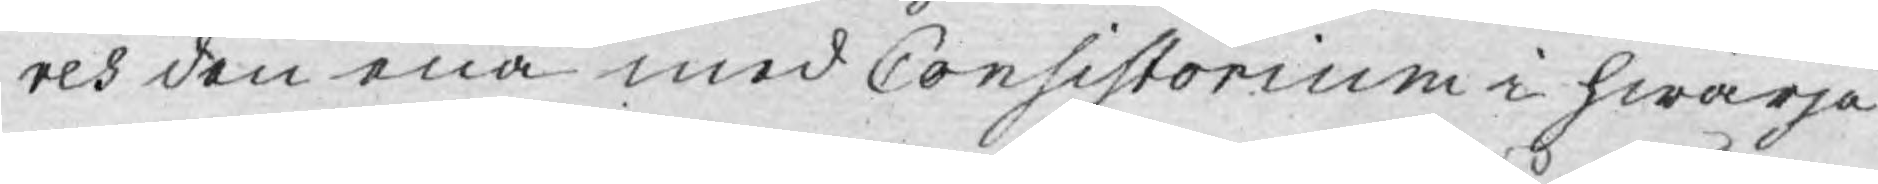res den ena med Consistorium i hwarje
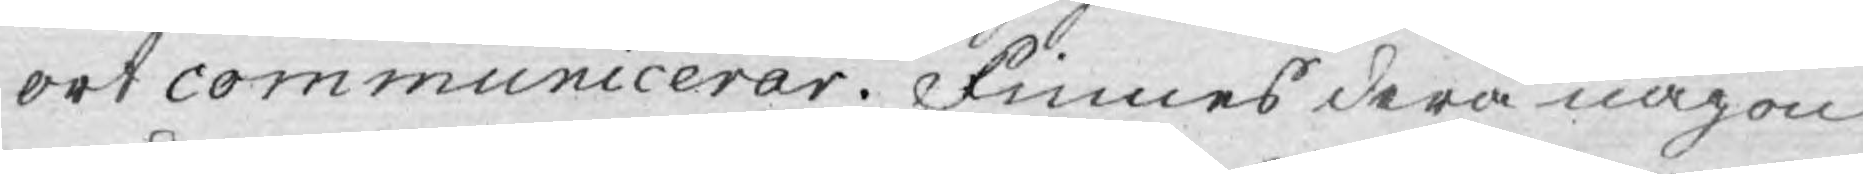ort communicerar. Finnes derå någon
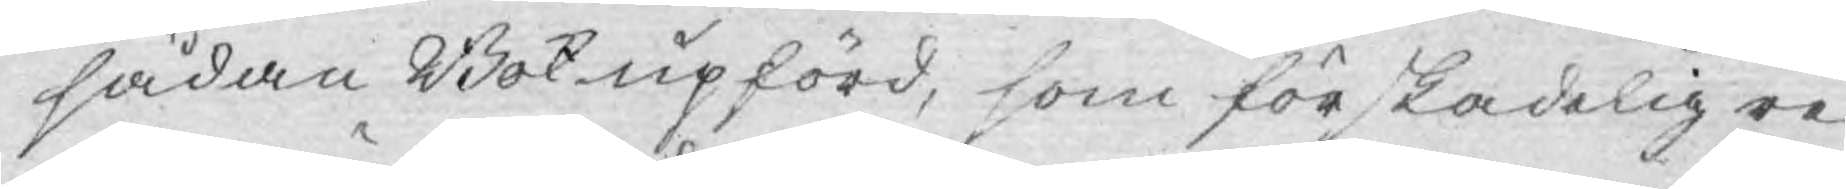sådan Bok upförd, som för skadelig re¬
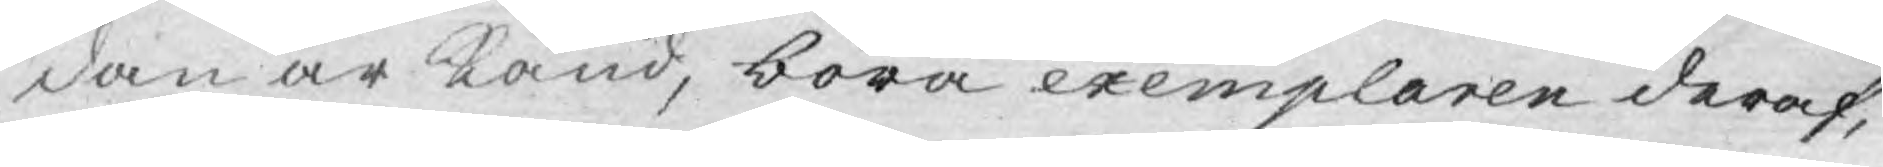dan är Känd, böra exemplaren deraf,
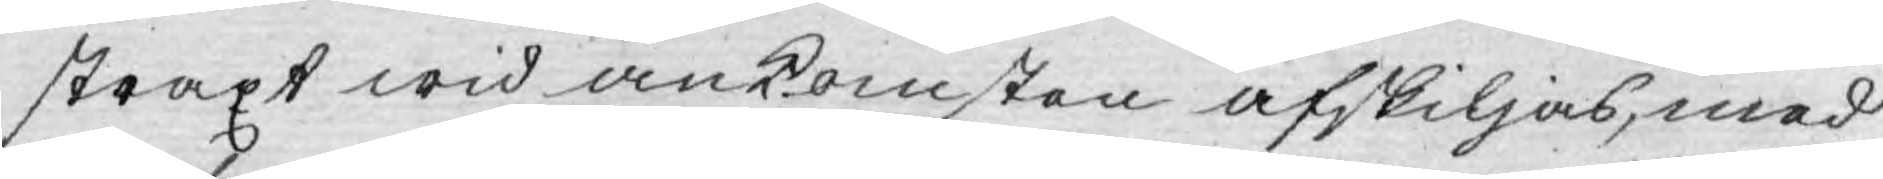straxt wid ankomsten afskiljas, med
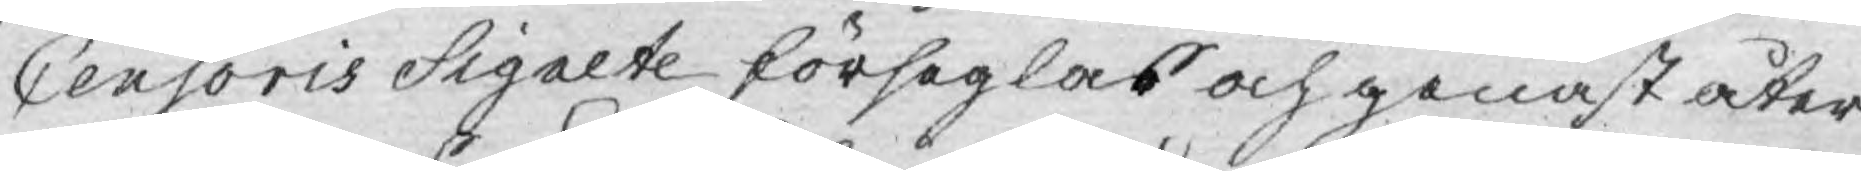Censoris Sigelte förseglas och genast åter
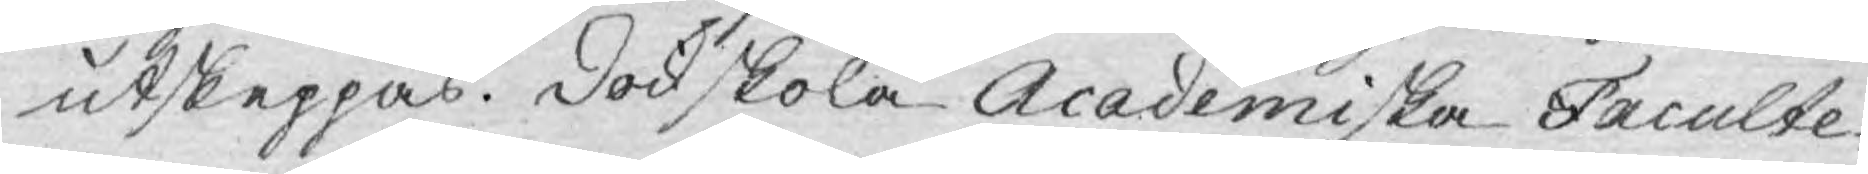utskeppas. Dock skola Academiska Faculte¬
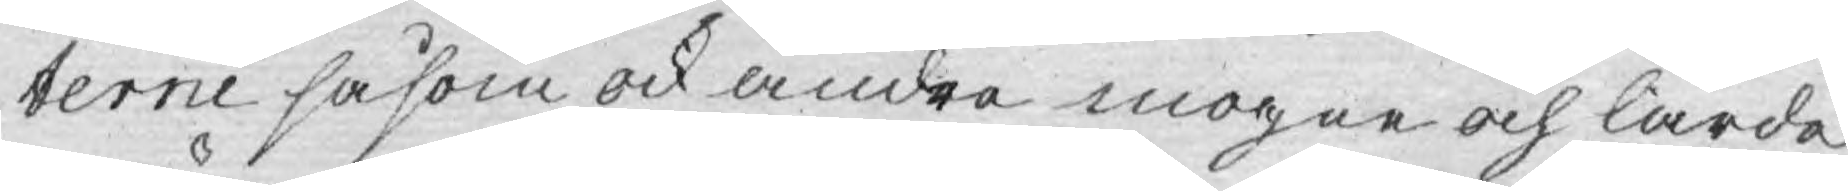terne såsom ock andra mogne och lärde
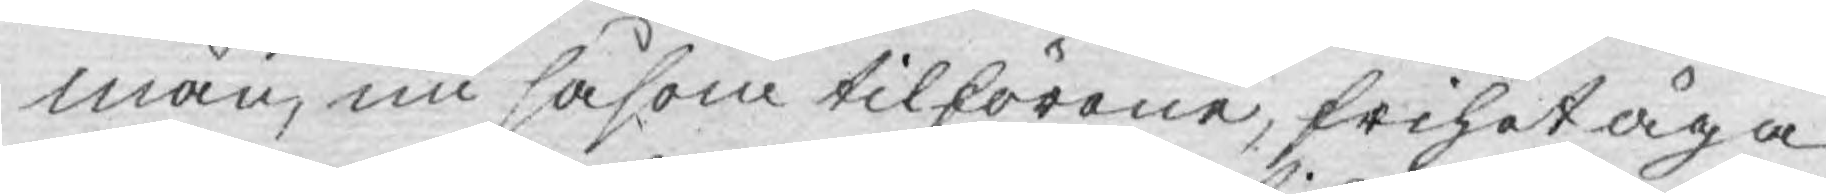män, nu såsom tilförene, frihet äga
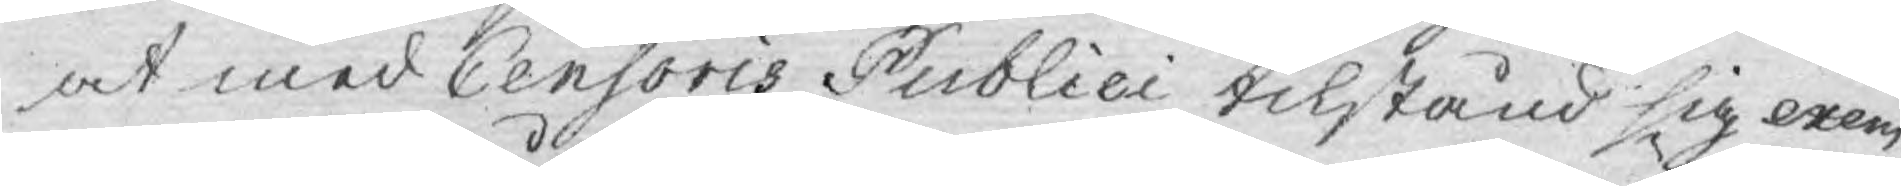at med Censoris Publici tilstånd sig exem¬
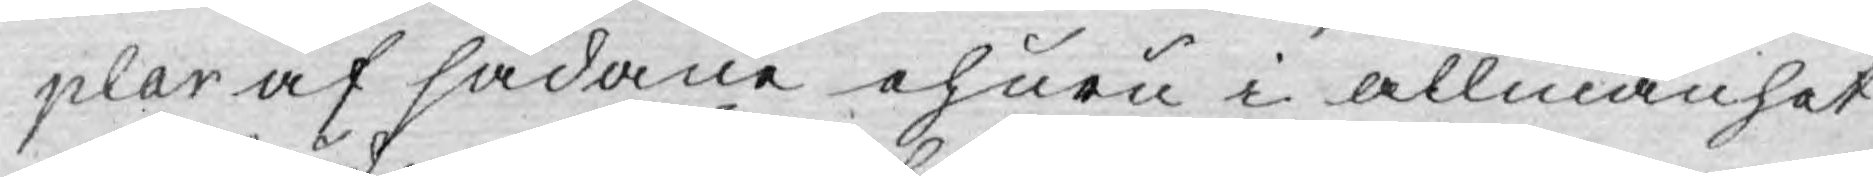plar af sådane ehuru i allmänhet
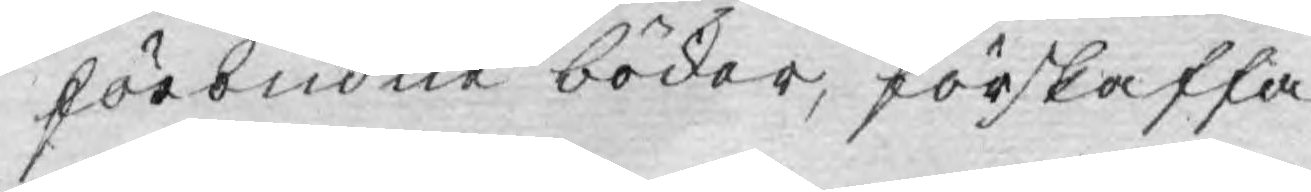förbudne böcker, förskaffa.
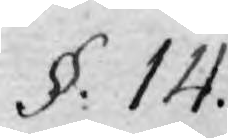§: 14.
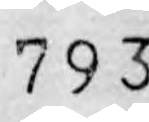793.
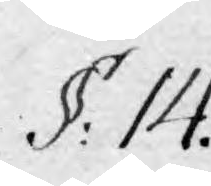§: 14.
